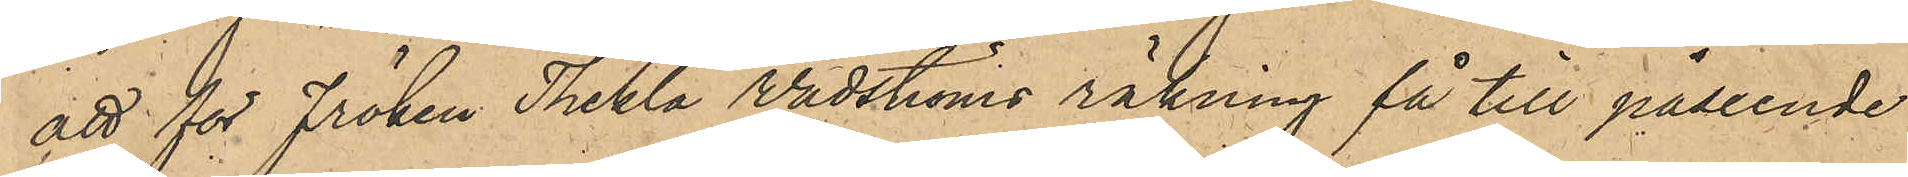att för fröken Thekla Wadströms räkning få till påseende
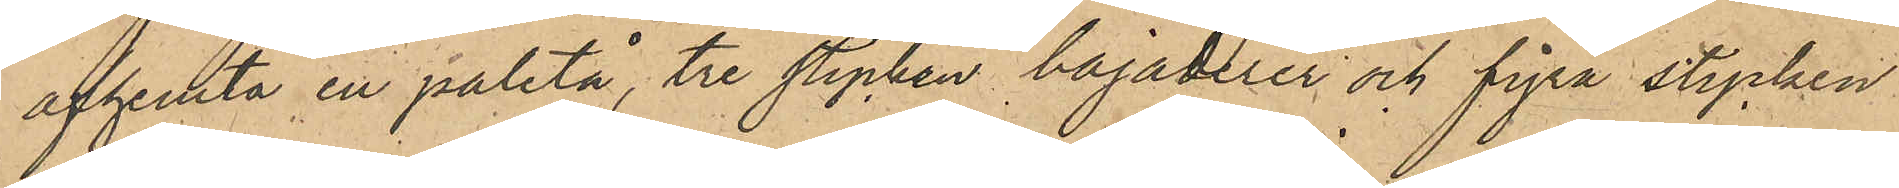afhemta en paletå, tre stycken bajaderer, och fyra stycken
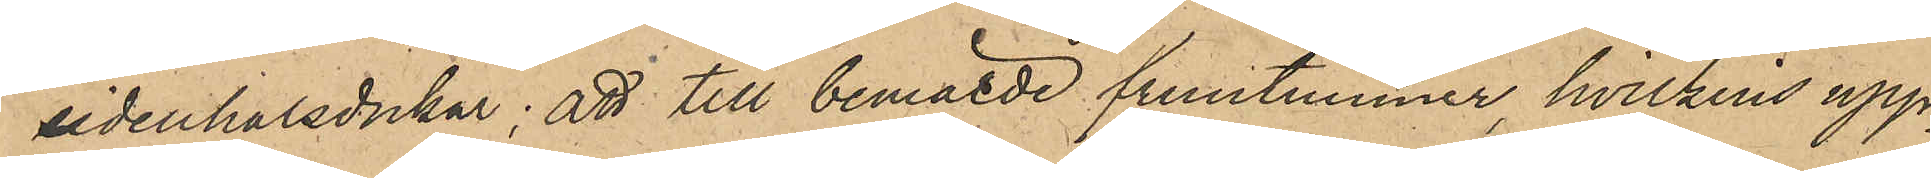sidenhalsdukar, att till bemälde fruntimmer, hvilkens upp¬
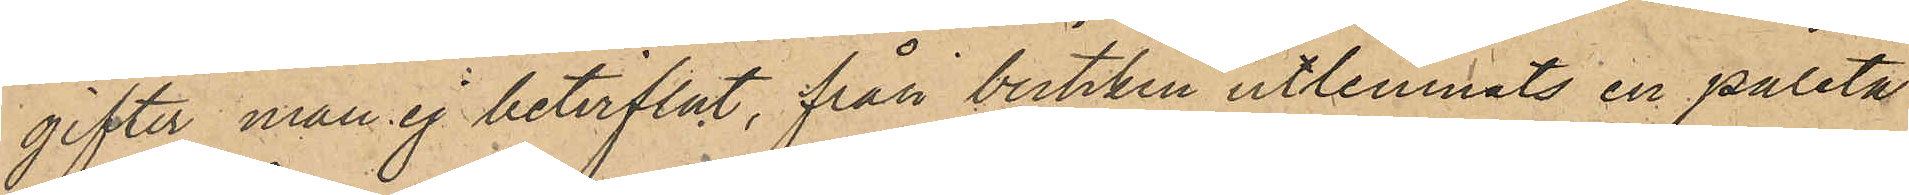gifter man ej betviflat, från butiken utlemnats en paletå
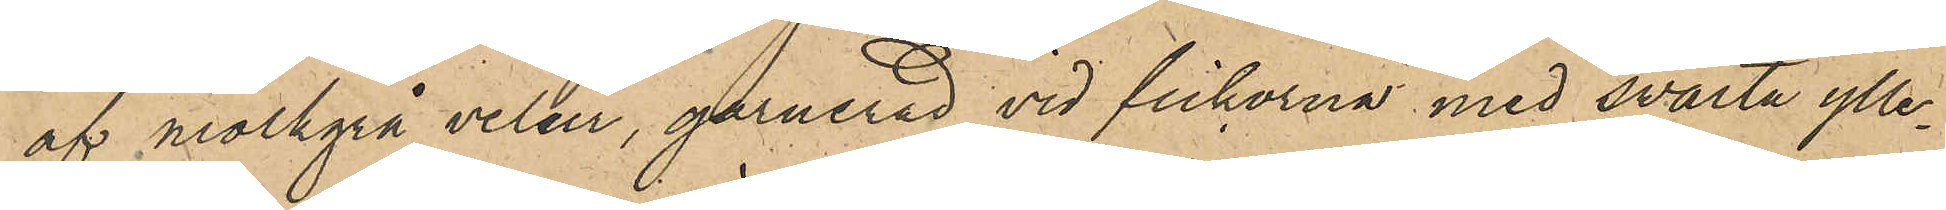af mörgrå velur, garnerad vid fickorna med swarta ylle¬
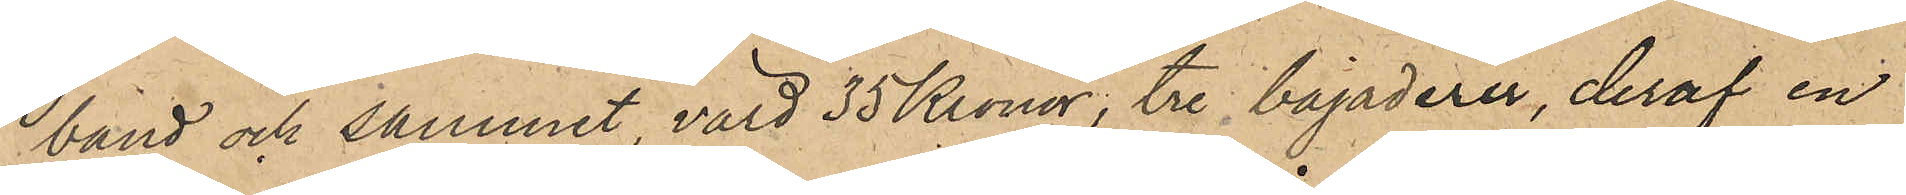band och sammet, värd 35 Kronor, tre bajaderer, deraf en
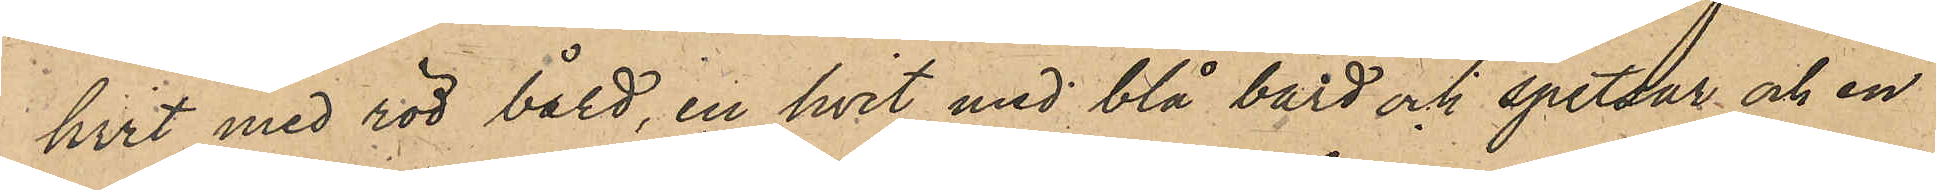hvit med röd bård, en hvit med blå bård och spetsar och en
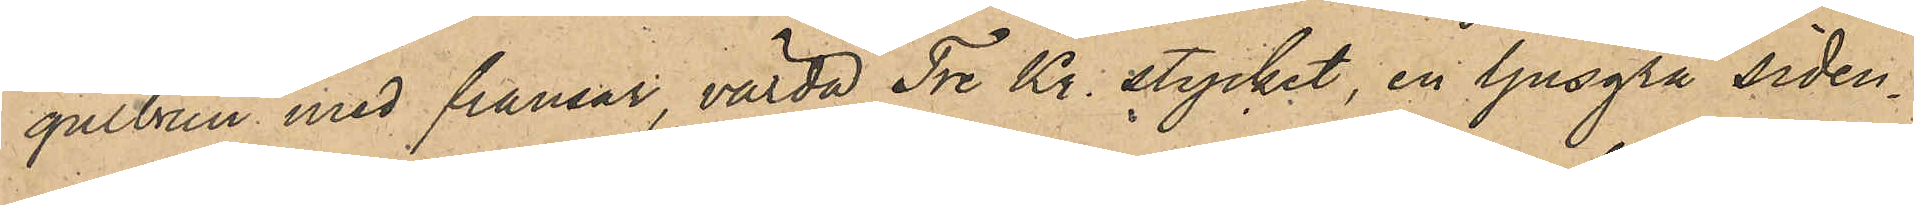gulbrun med fransar, värda Tre Kr. stycket, en ljusgrå siden¬
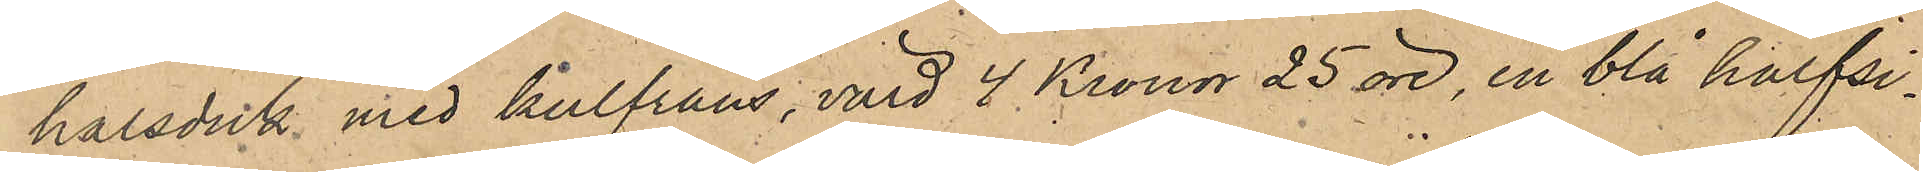halsduk med kulfrans, värd 4 Kronor 25 öre, en blå halfsi¬
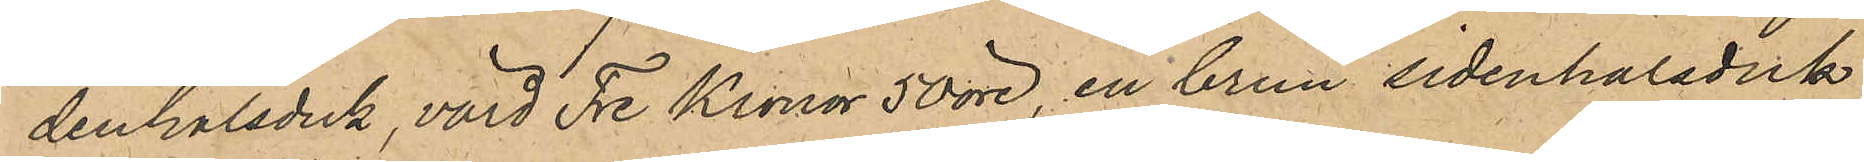denhalsduk, värd Tre Kronor 50 öre, en brun sidenhalsduk
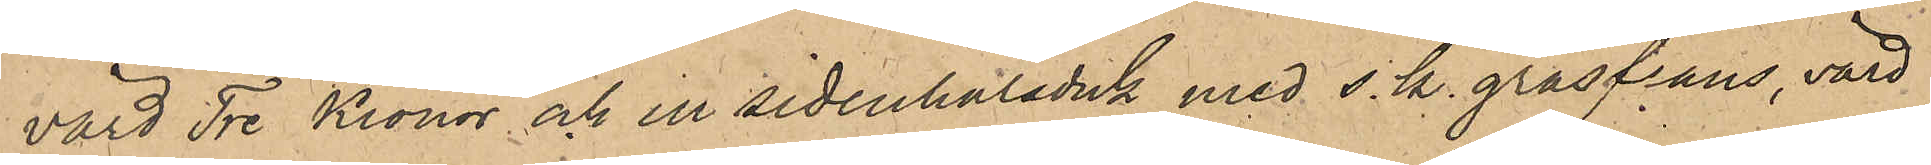värd Tre Kronor och en sidenhalsduk med s.k. gräsfrans, värd
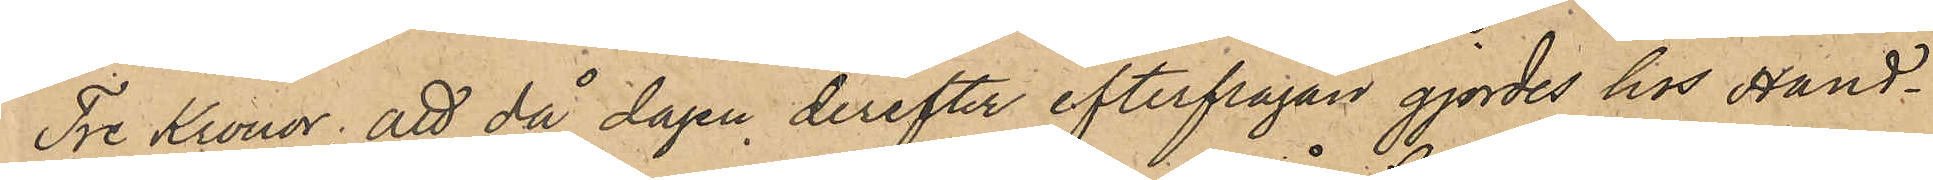Tre kronor; att då dagen derefter efterfrågan gjordes hos Hand¬
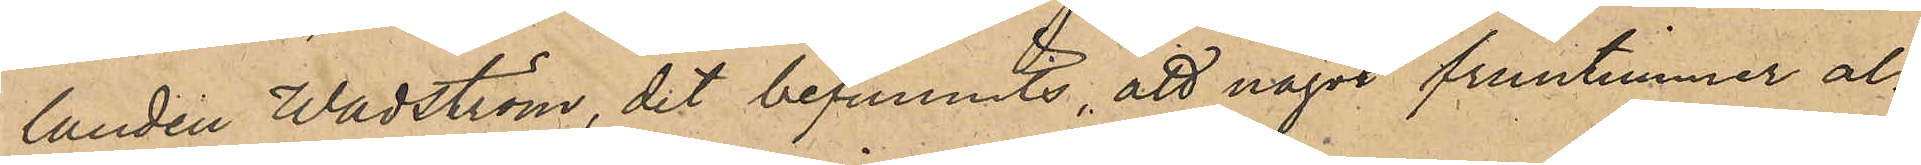laren Wadström, det befunnits, att något fruntimmer al¬
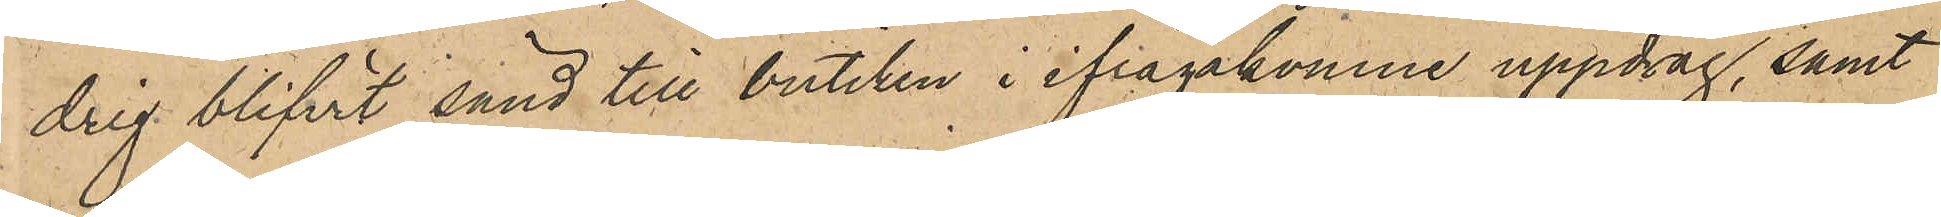drig blifvit sänd till butiken i ifrågakomne uppdrag, samt
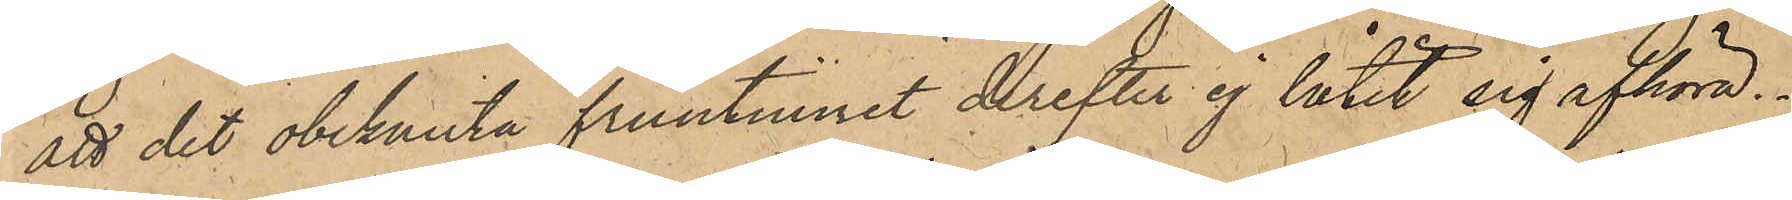att det obekanta fruntimret derefter ej låtit sif afhöra.
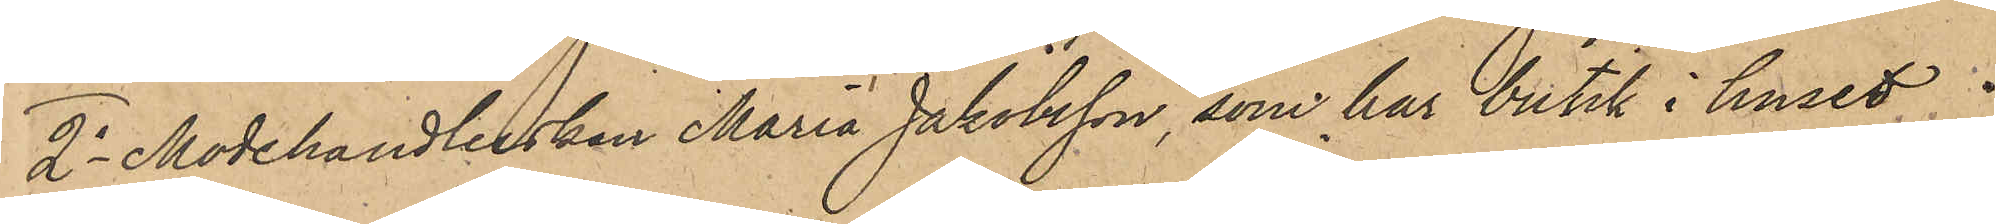2o Modehandlerskan Maria Jakobsson, som har butik i huset
